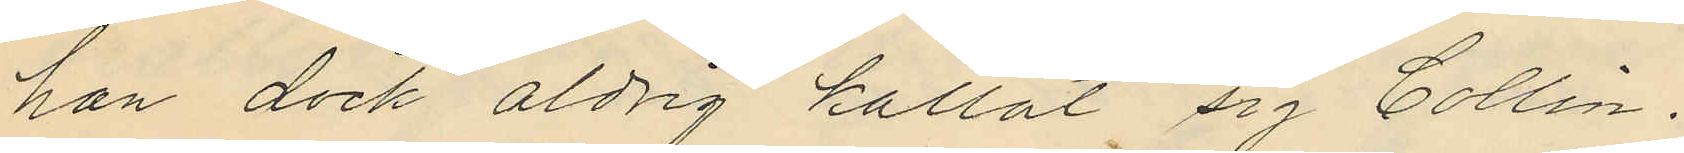han dock aldrig kallat sig Collin.
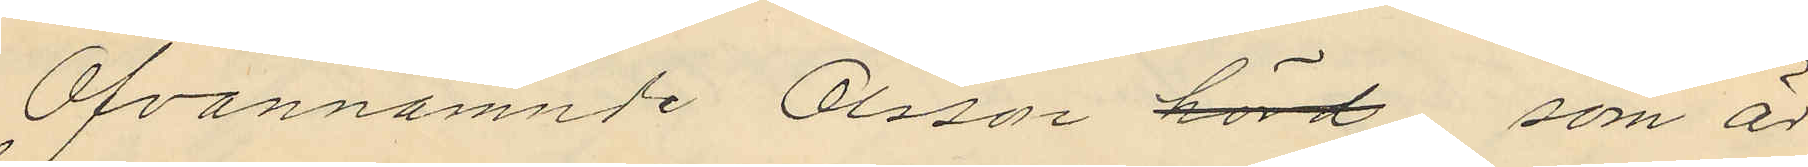Ofvannämnde Olsson hörd, som är
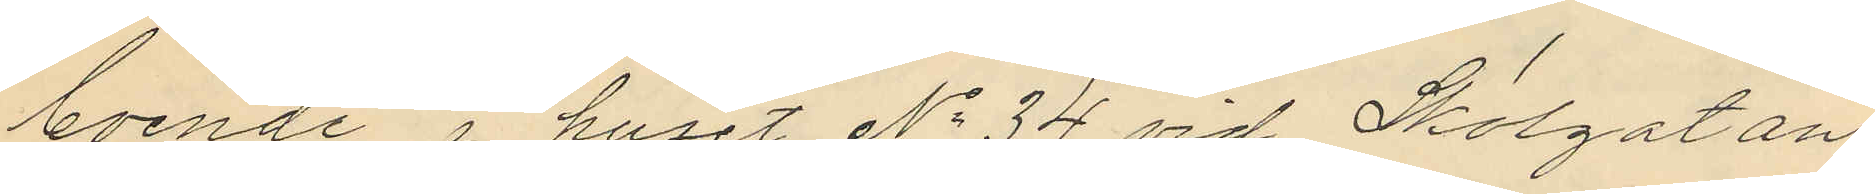boende i huset No 34 vid Skolgatan,
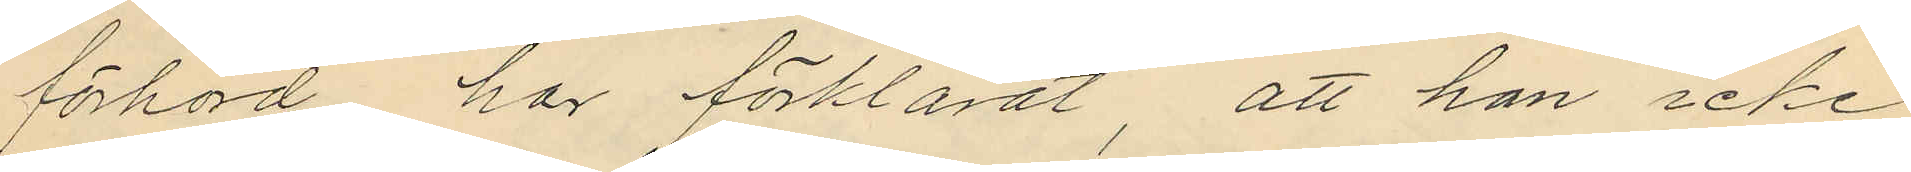förhörd har förklarat, att han icke
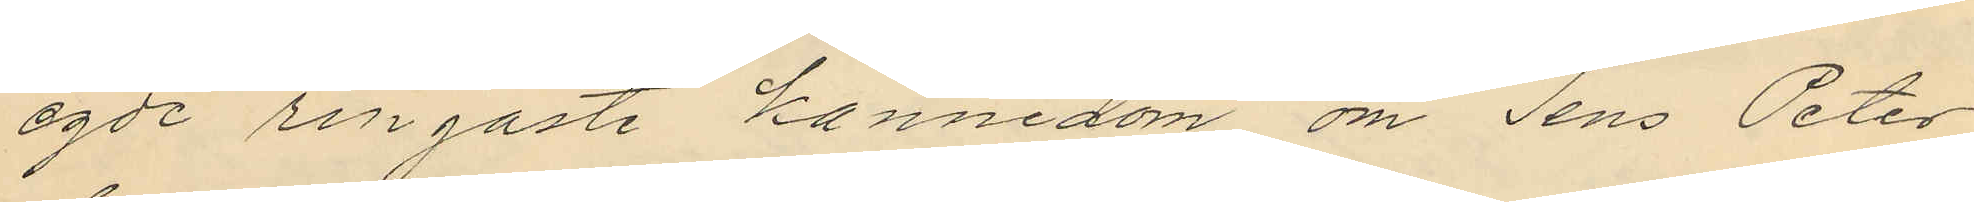egde ringaste kännedom om Jens Peter
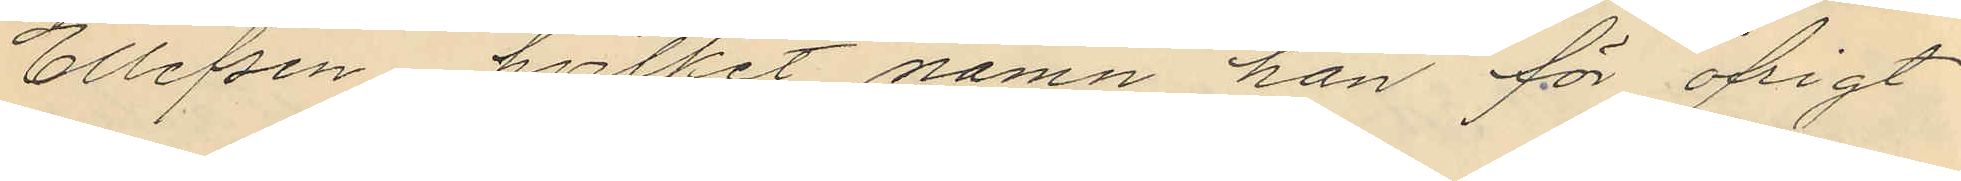Ellefsen, hvilket namn han för öfrigt
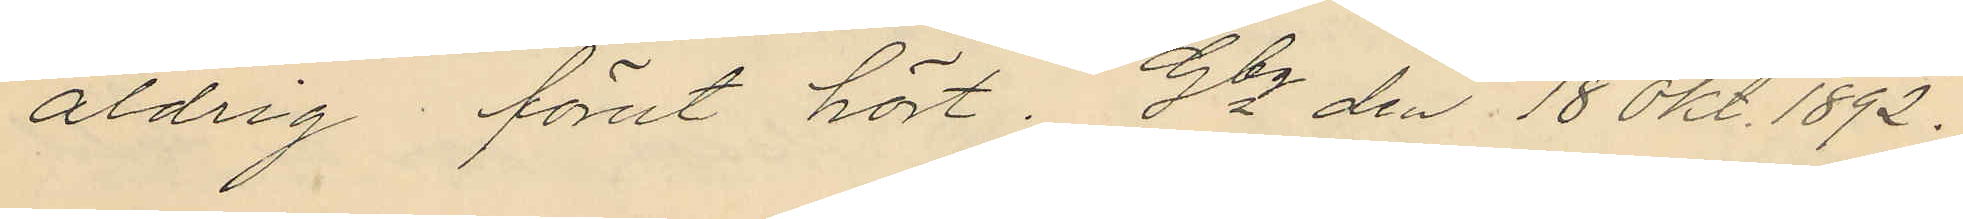aldrig förut hört. Gbg den 18 Okt. 1892.
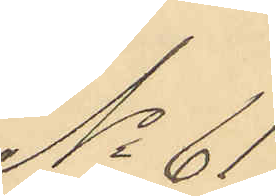No 61.
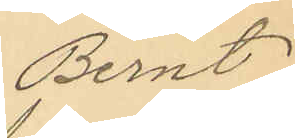Bernt
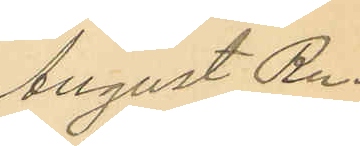August Ru¬
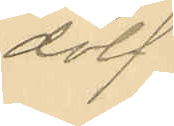dolf
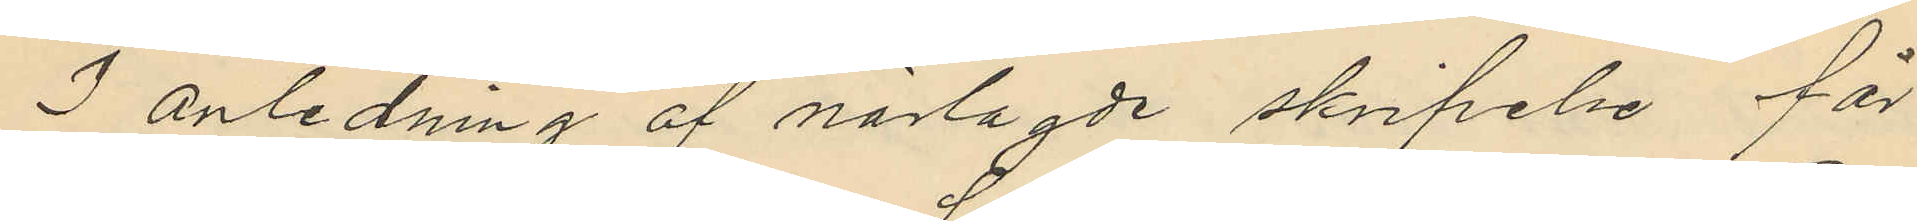I anledning af närlagde skrifelse får
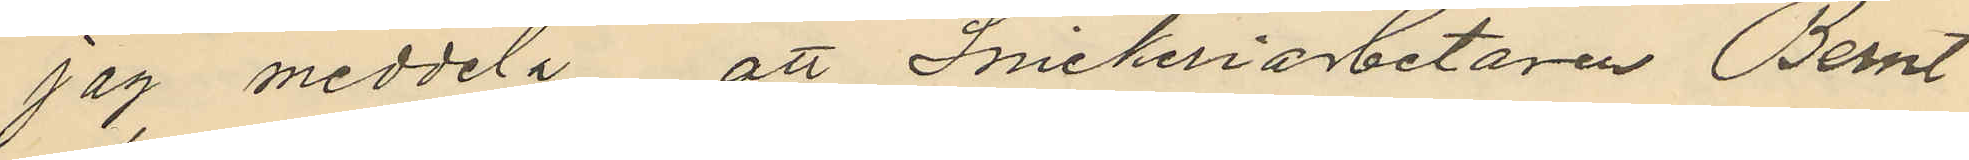jag meddela att Snickeriarbetaren Bernt
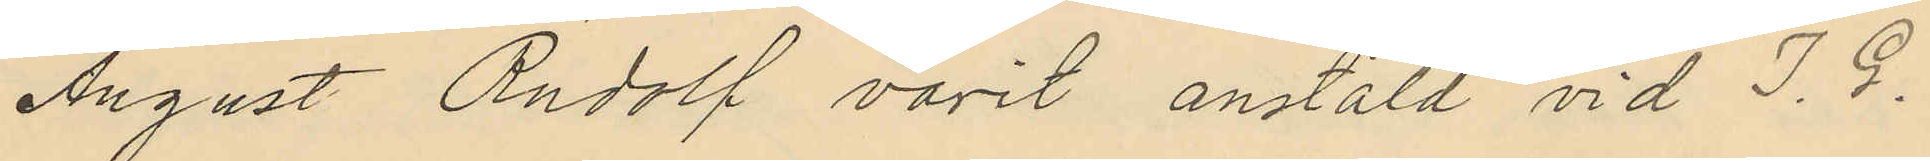August Rudolf varit anstäld vid J. G.
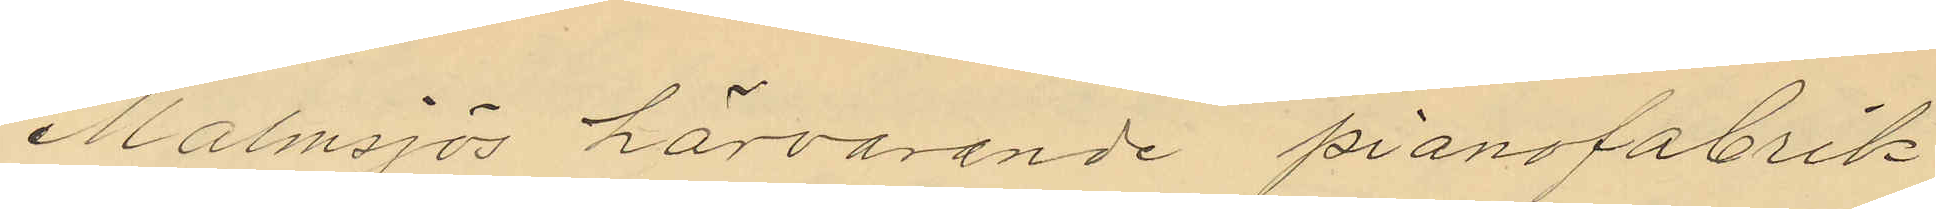Malmsjös härvarande pianofabrik
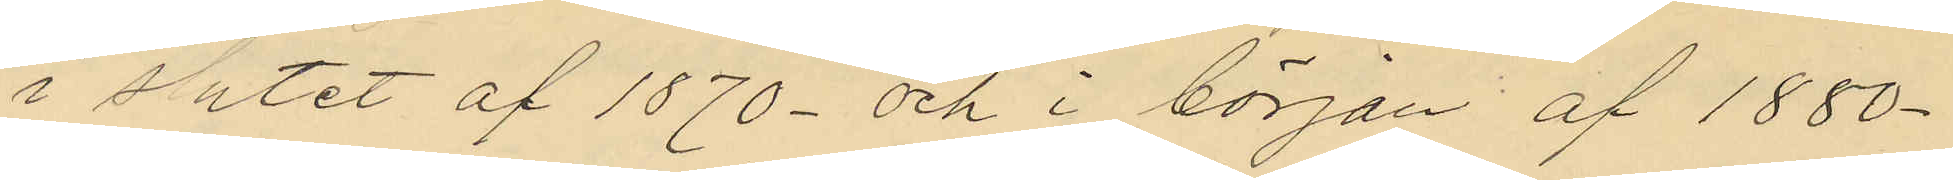i slutet af 1870- och i början af 1880-
